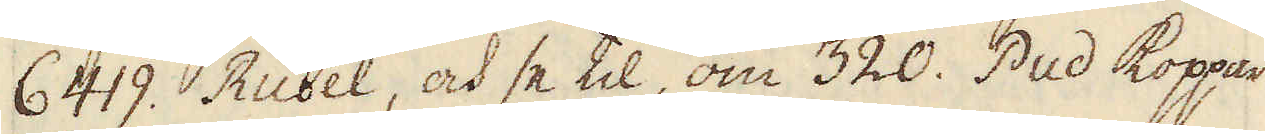6419. Rubel, och se til, om 320. Pud koppar
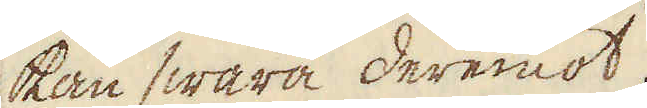kan swara deremot.
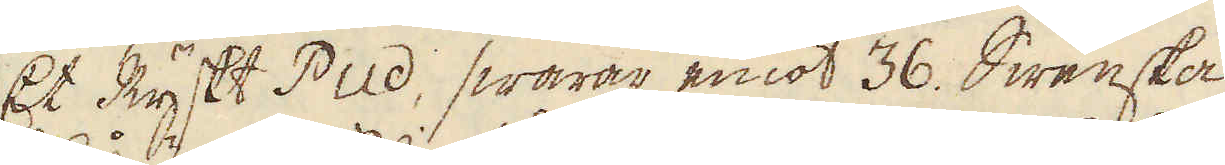Et Ryskt Pud, swarar emot 36. Swenska
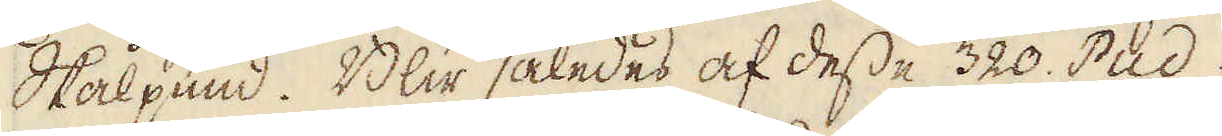Skålpund. Blir således af desse 320. Pud.
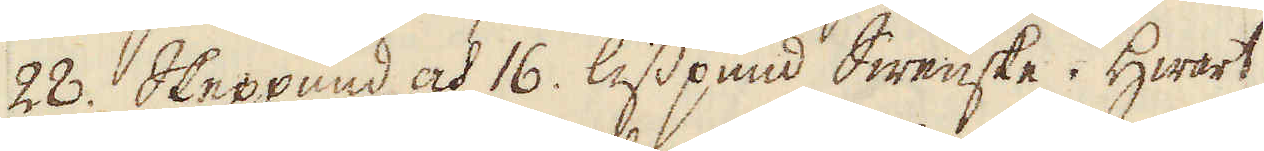28. Skeppund och 16. lisspund Swenske. Hwart
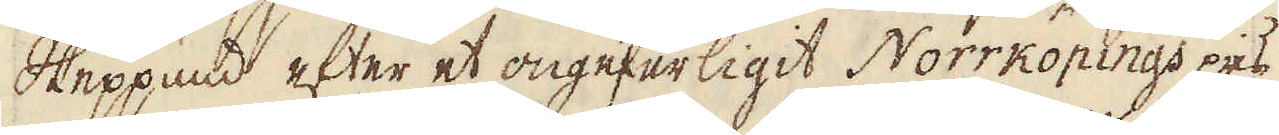Skeppund efter et ongeferligit Norrköpings pris
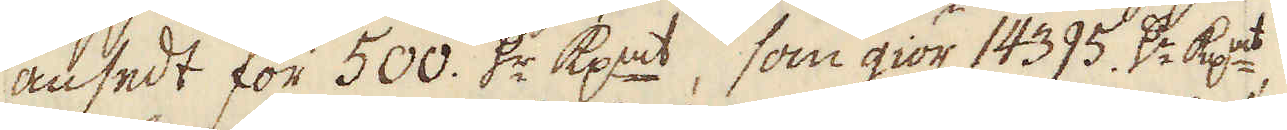ansedt för 500. d:r kp:mt, som giör 14395. d:r kp:mt,
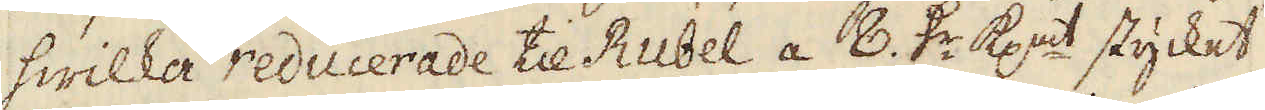hwilka reducerade til Rubel a 8. d:r kp:mt stycket
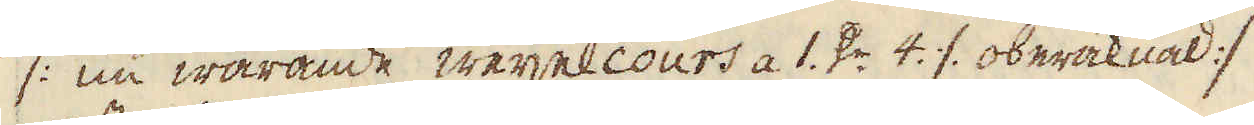(: nu warande wexelcours a 1. d:r 4. ./. oberäknad :)
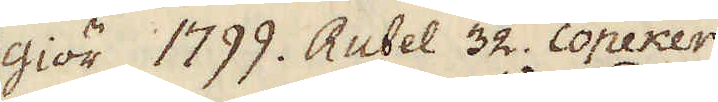giör 1799. Rubel 32. Copeker
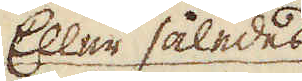Eller således
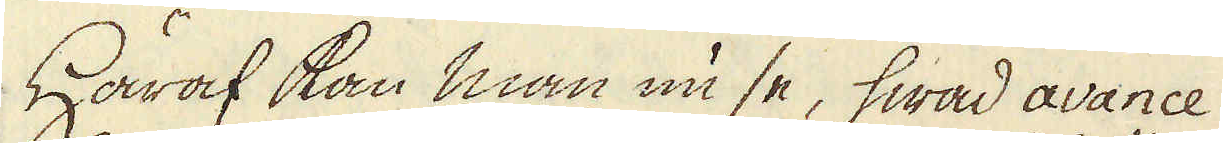Häraf kan man nu se, hwad avance
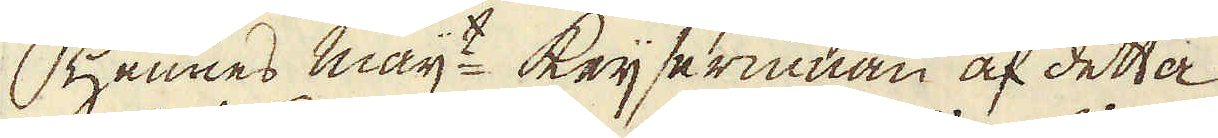Hennes maij:t Keijserinnan af detta
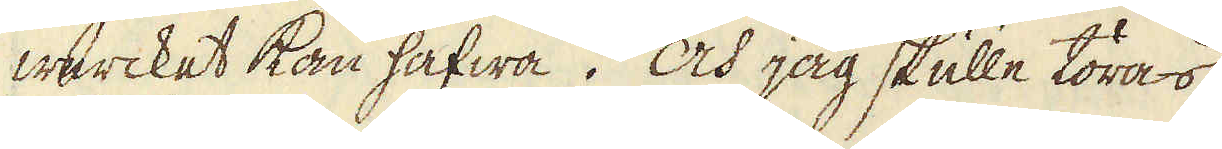wercket kan hafwa. Och jag skulle töras
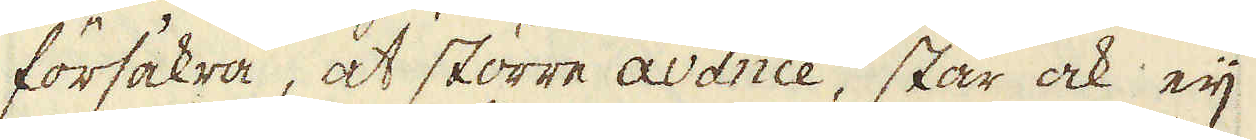försakra, at större avance, står ock eij
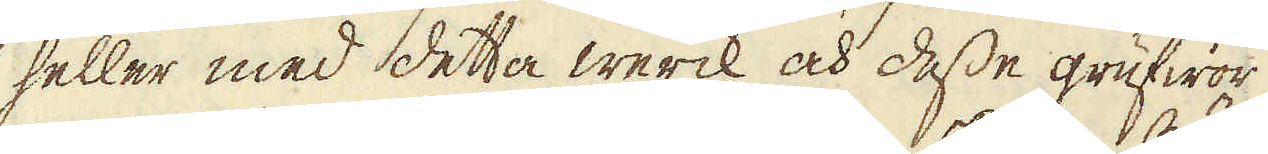heller med detta werck och desse grufwor
